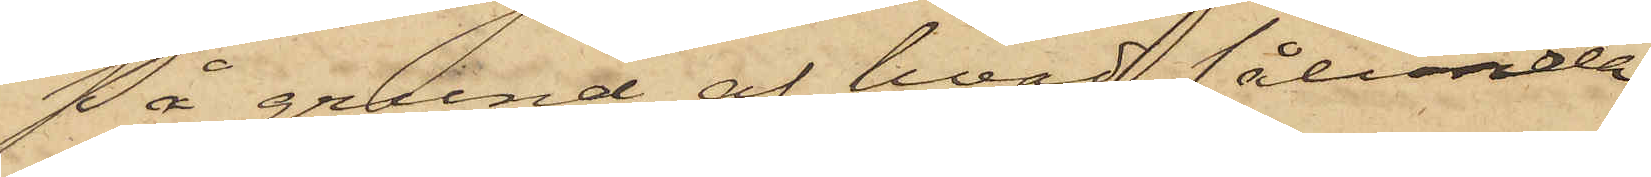På grund af hvad sålunda
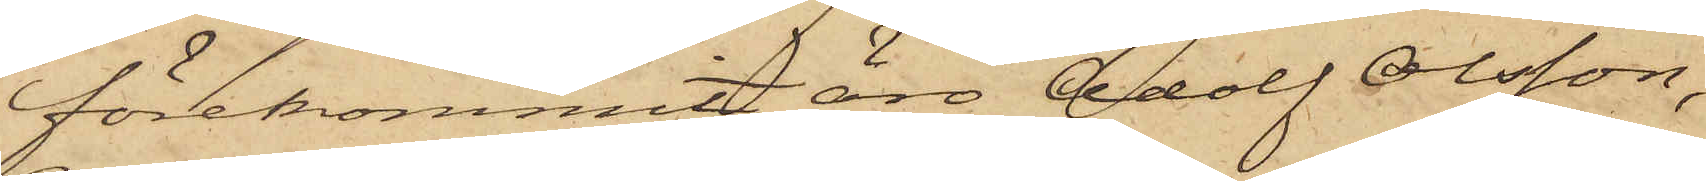förekommit, äro Adolf Olsson,
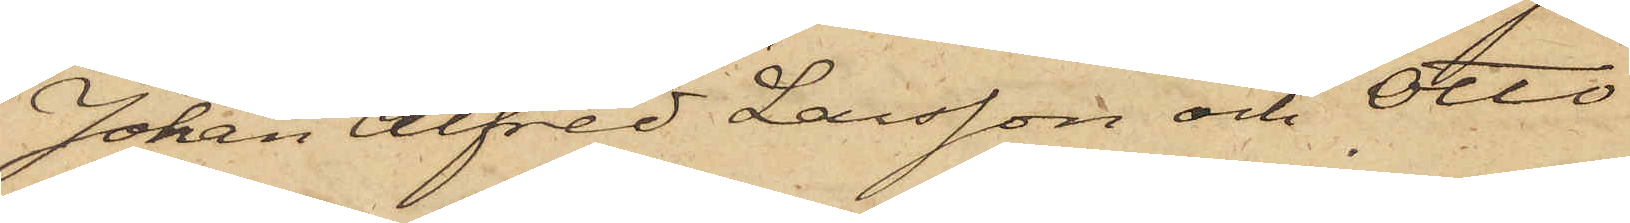Johan Alfred Larsson och Otto
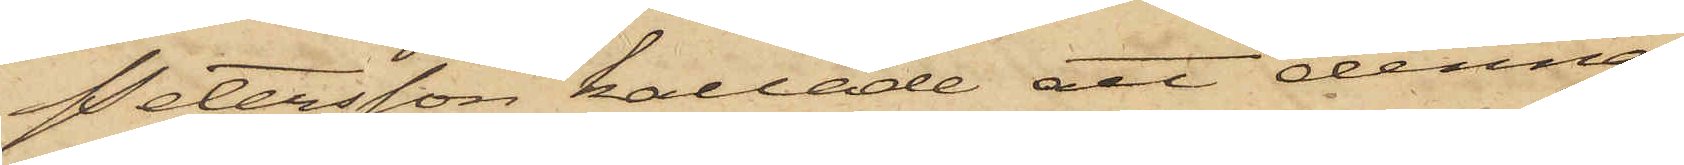Petersson kallade att denna
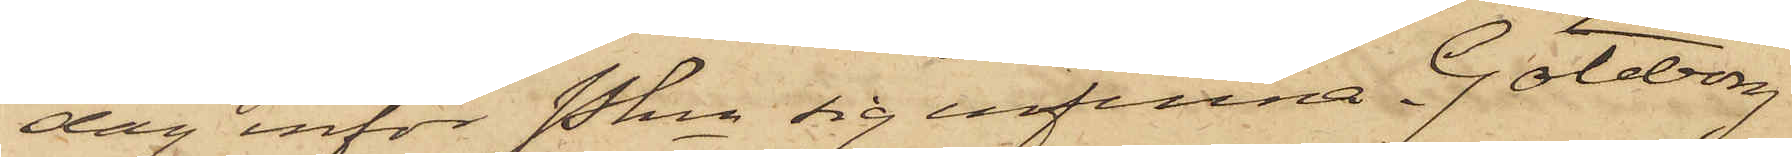dag inför Pkn sig infinna. Göteborg
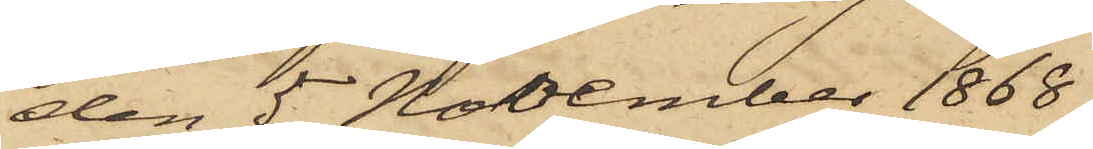den 5 November 1868.
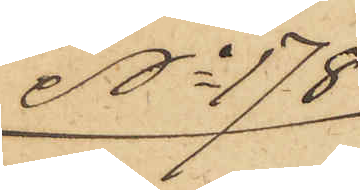No 178
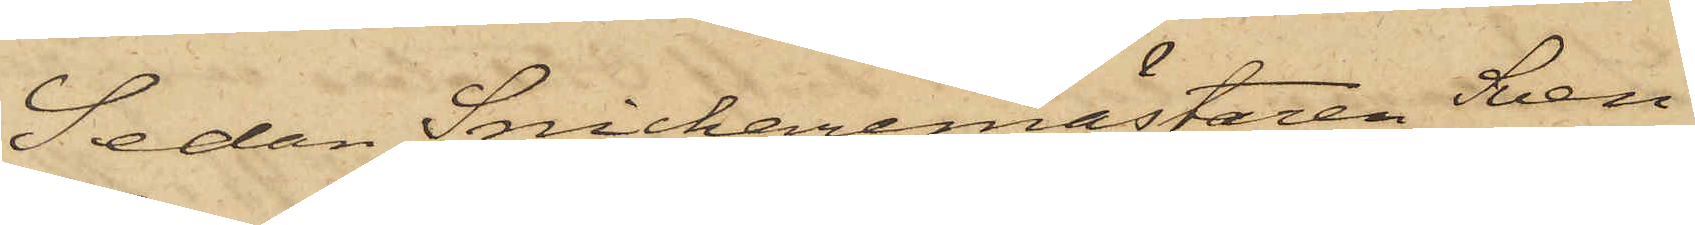Sedan Snickaremästaren Sven
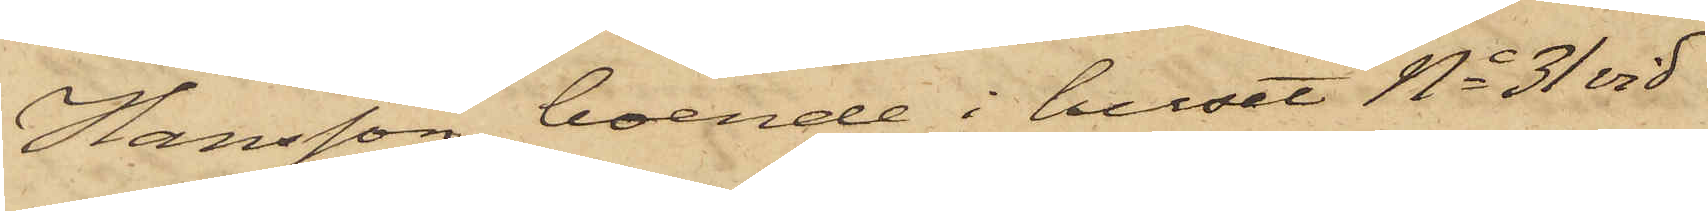Hansson, boende i huset No 31 vid
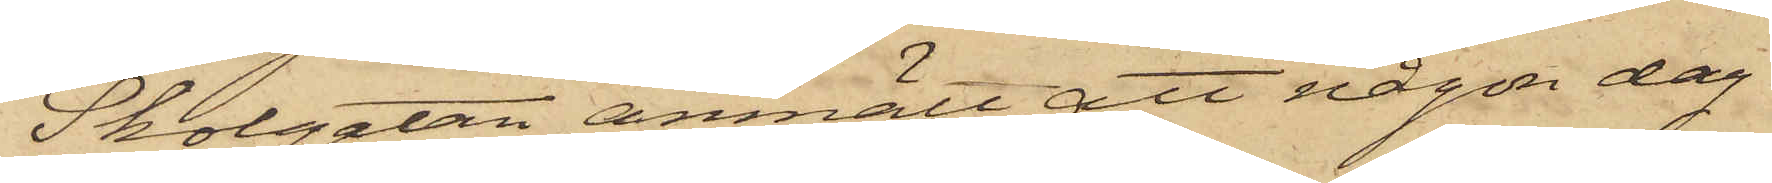Skolgatan, anmält att någon dag
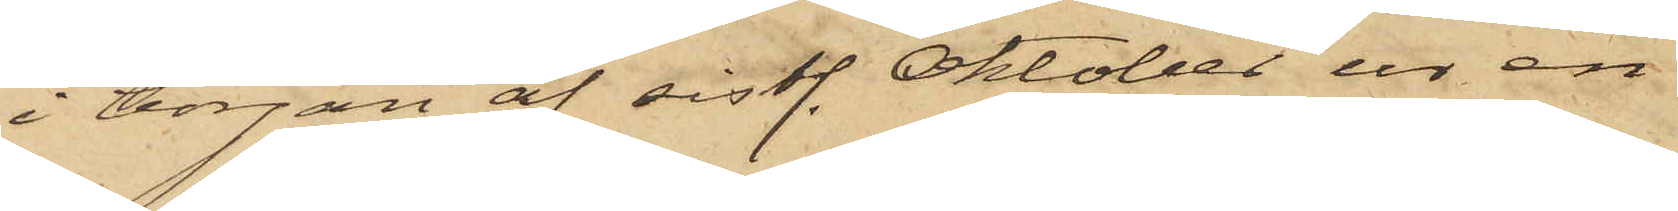i början af sistl. Oktober ur en
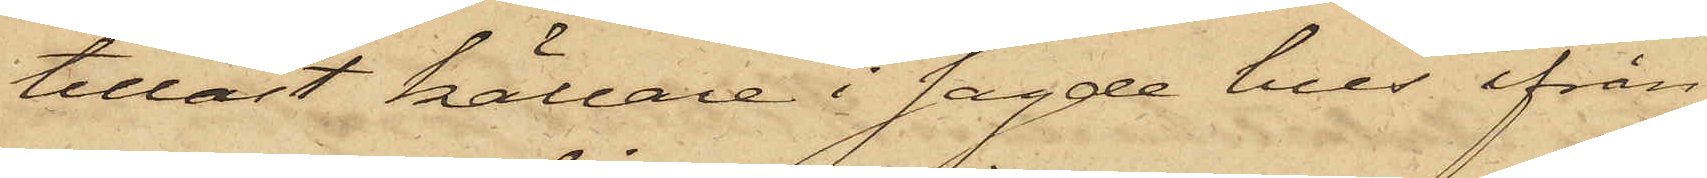tillåst källare i sagde hus ifrån
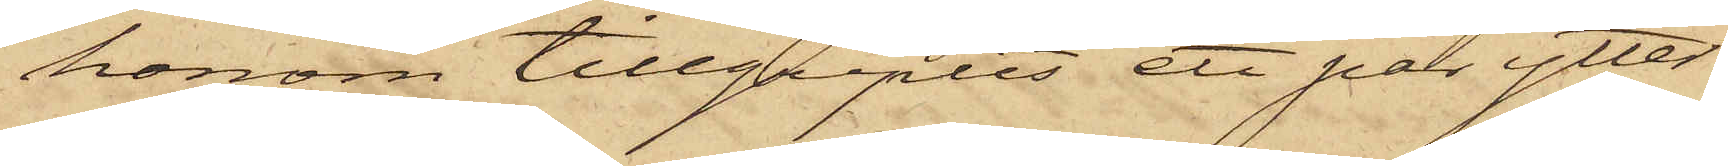honom tillgripits ett par ytter¬
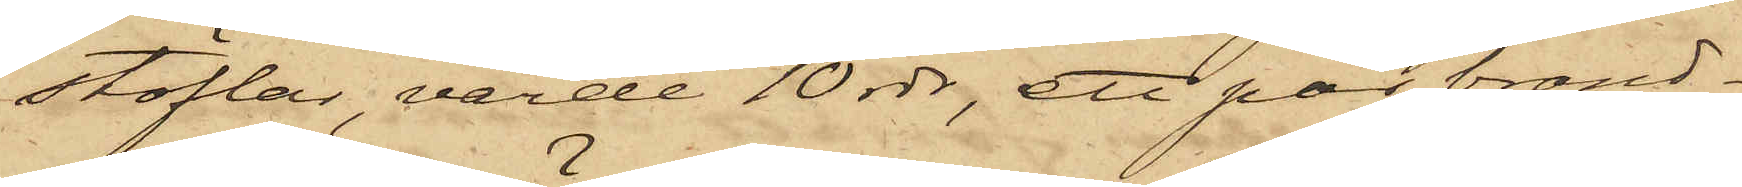stöflar, värde 10 rdr, ett par brand¬
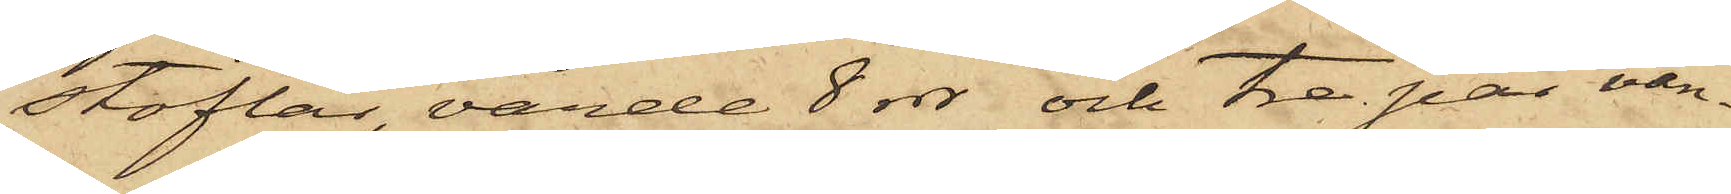stöflar, värde 8 rdr och tre par van¬
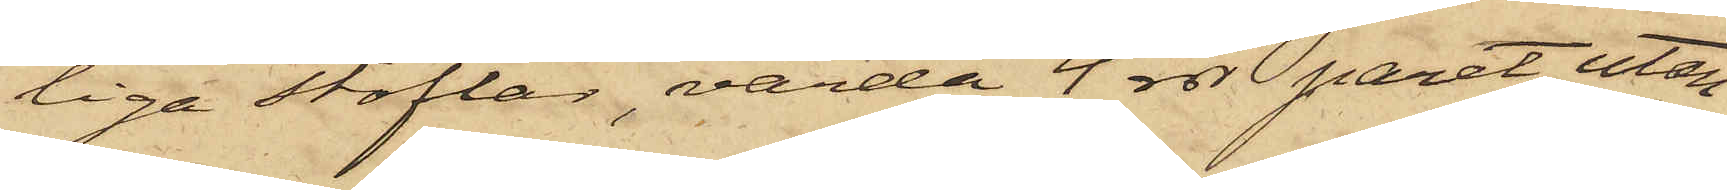liga stöflar, värda 4 rdr paret, utan
